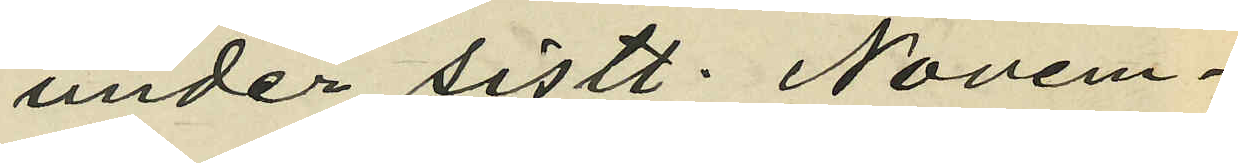under sistl. Novem¬
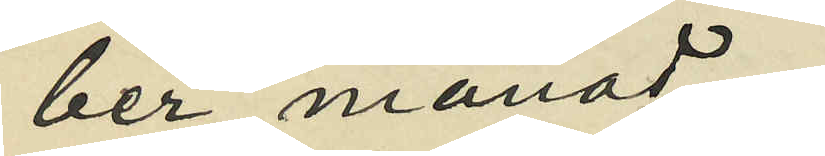ber månad.
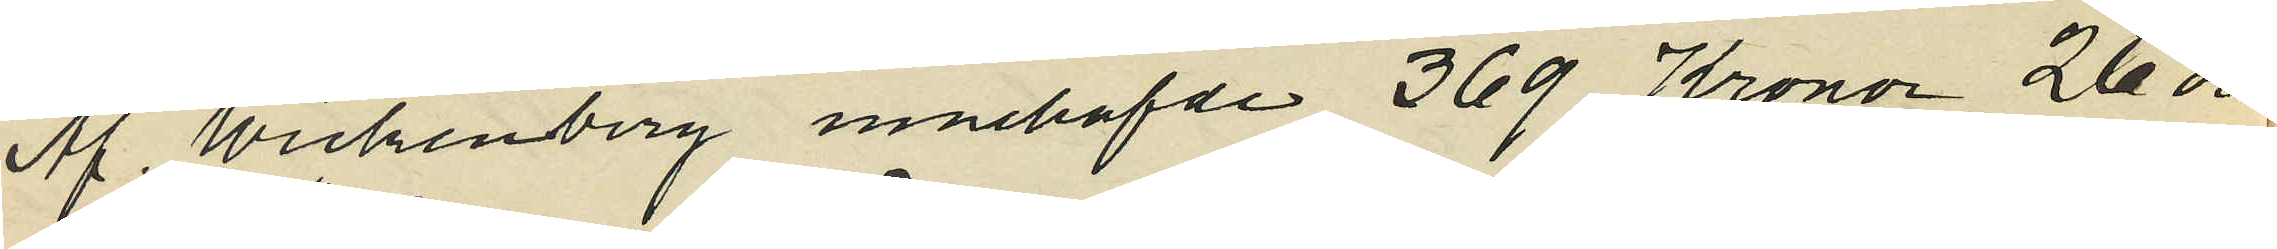Af Wickenberg innehafde 369 Kronor 26 öre
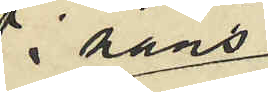i hans bostad
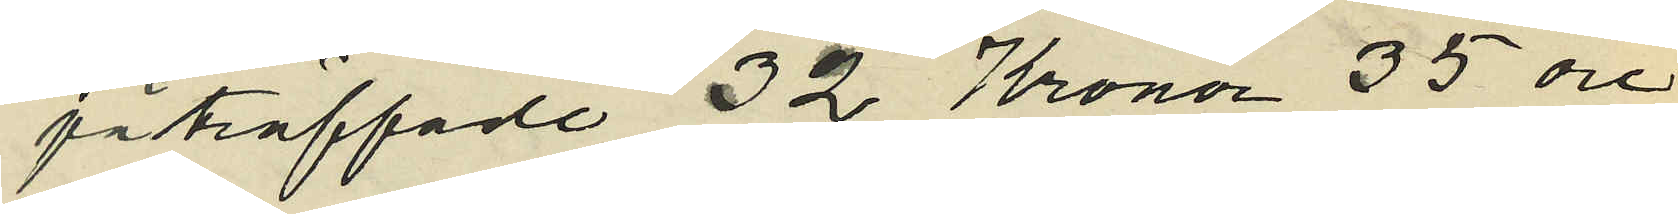påträffade 32 Kronor 35 öre
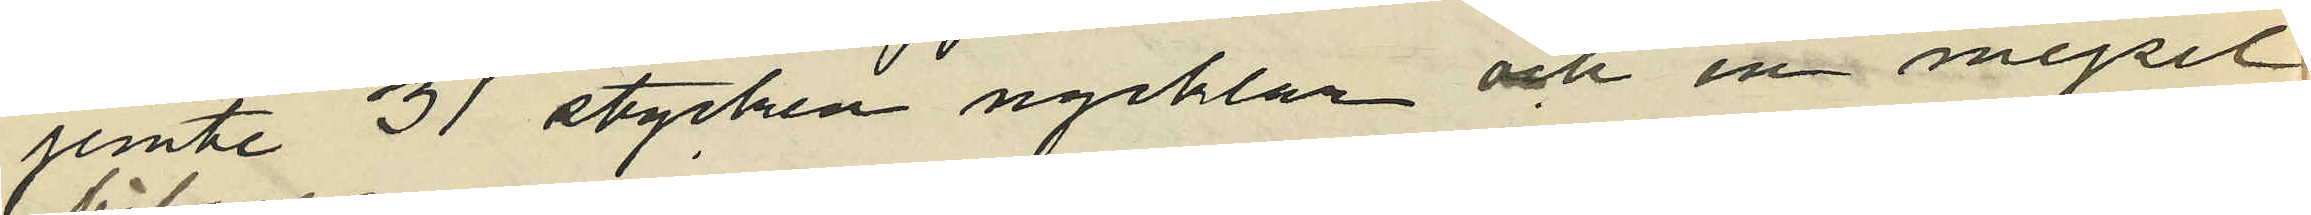jemte 31 stycken nycklar och en mejsel
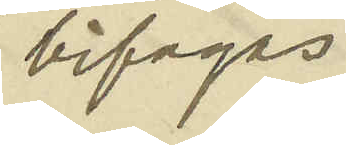bifogas
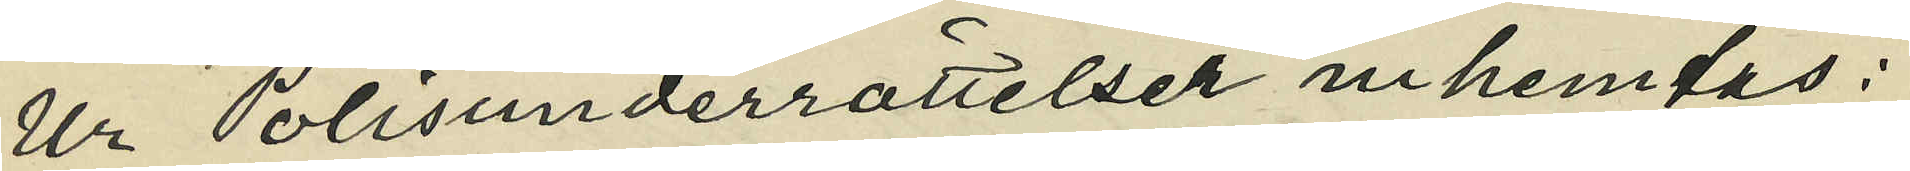Ur Polisunderrättelser inhemtas:
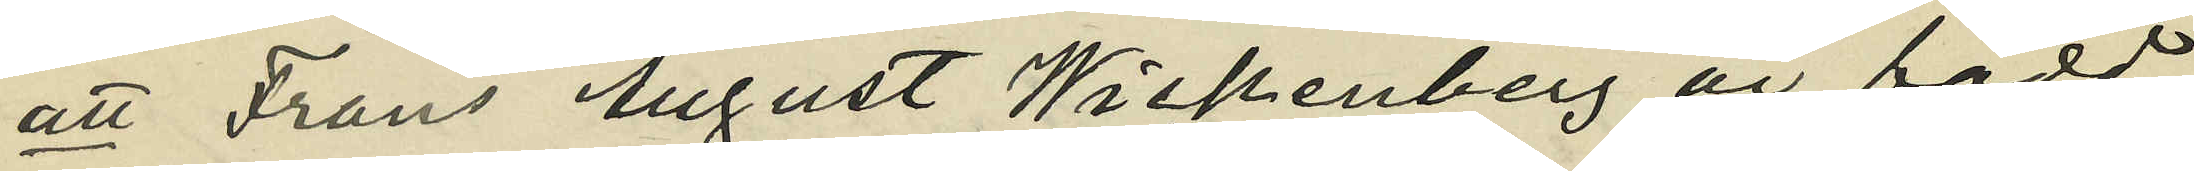att Frans August Wickenberg är född
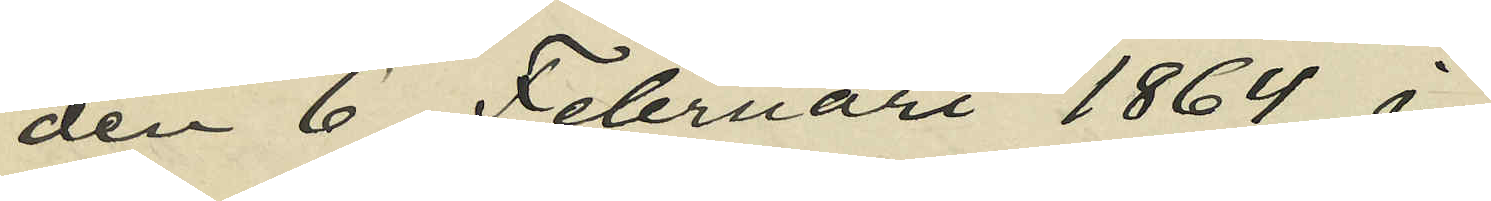den 6 Februari 1864 i
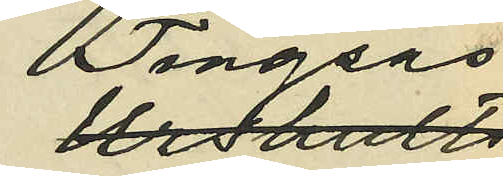Tingsås
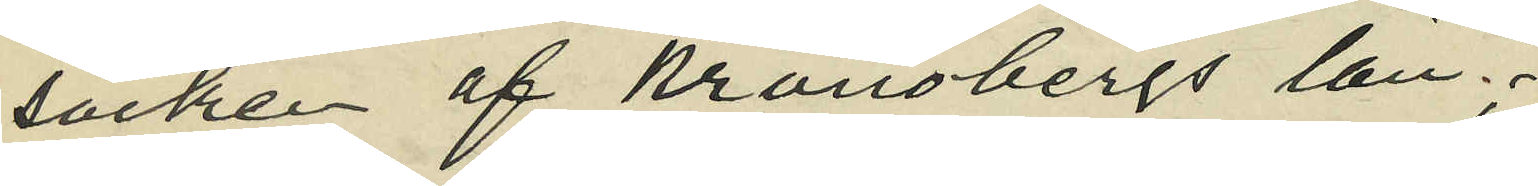socken af Kronobergs län;
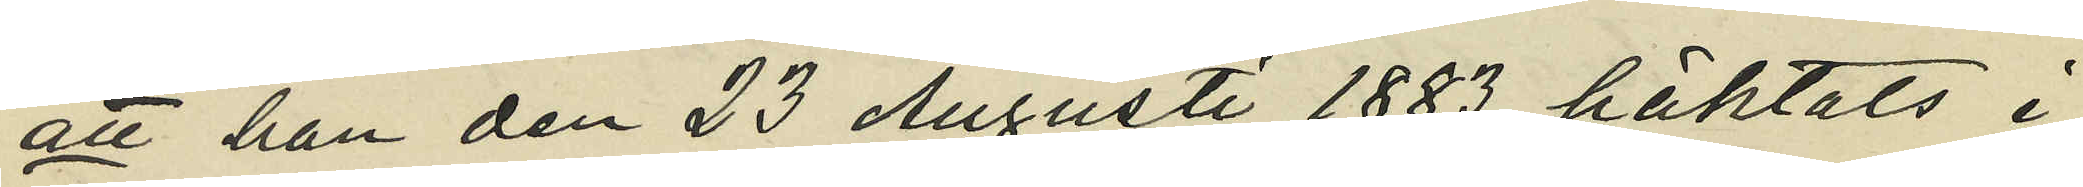att han den 23 Augusti 1883 häktats i
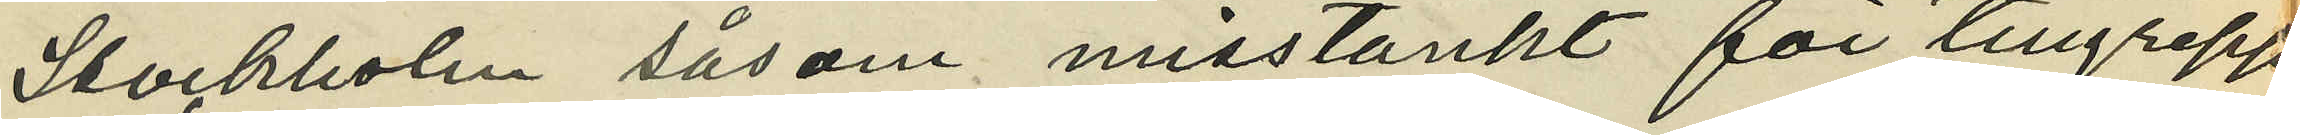Stockholm såsom misstänkt för tillgrepp
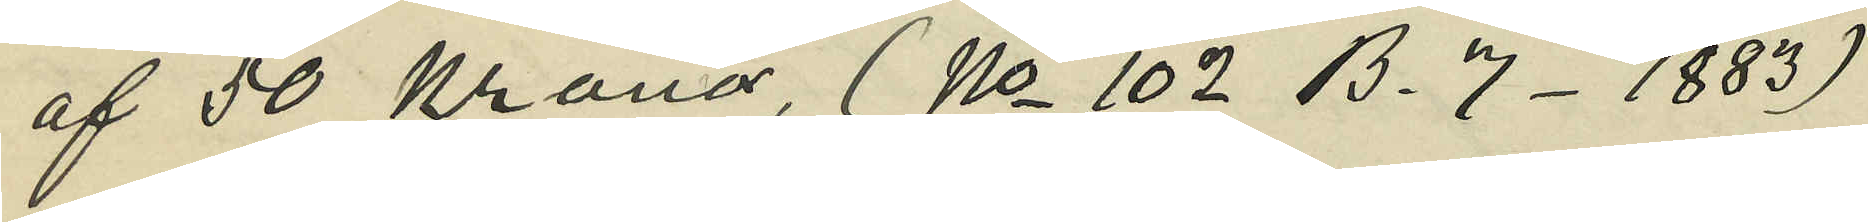af 50 Kronor, (No 102 B. 7- 1883)
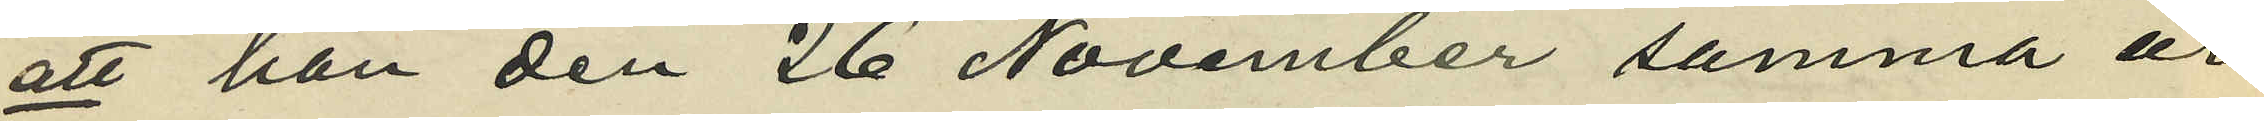att han den 26 November samma ur
